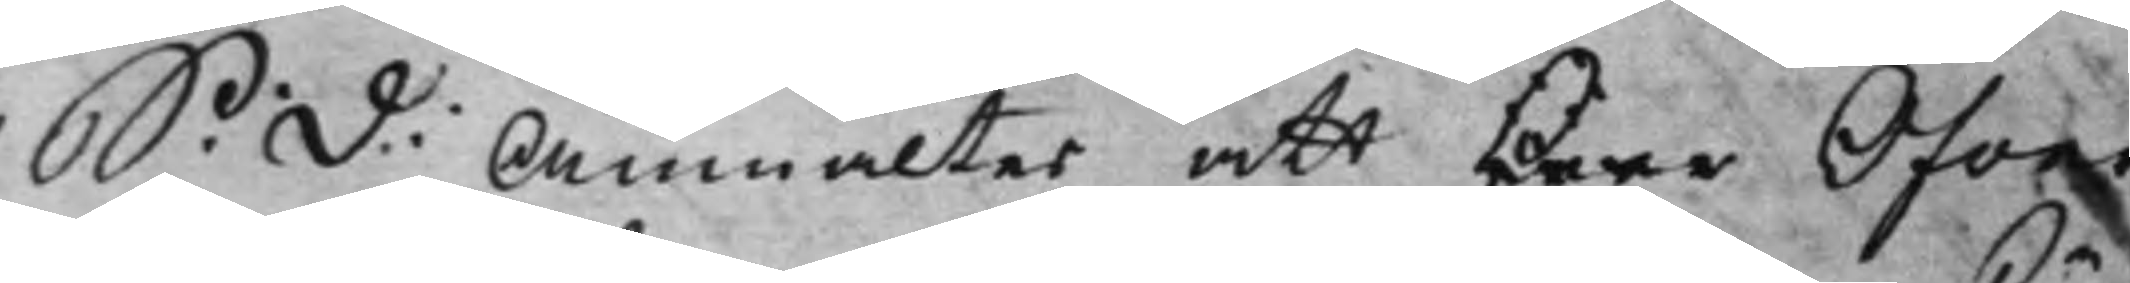S: d: Anmältes att Herr Öfwer¬ 
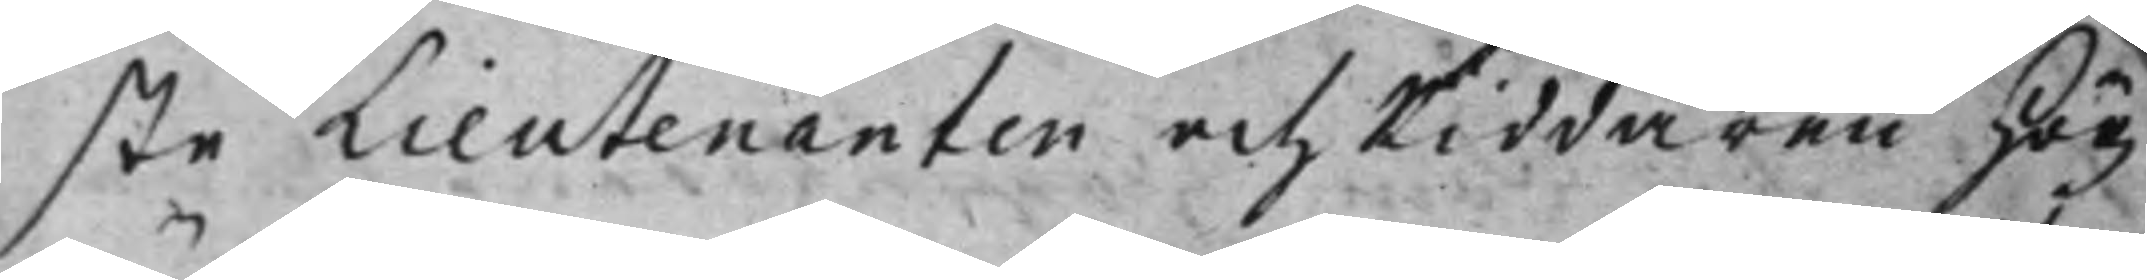ste Lieutenanten och Riddaren Hög¬
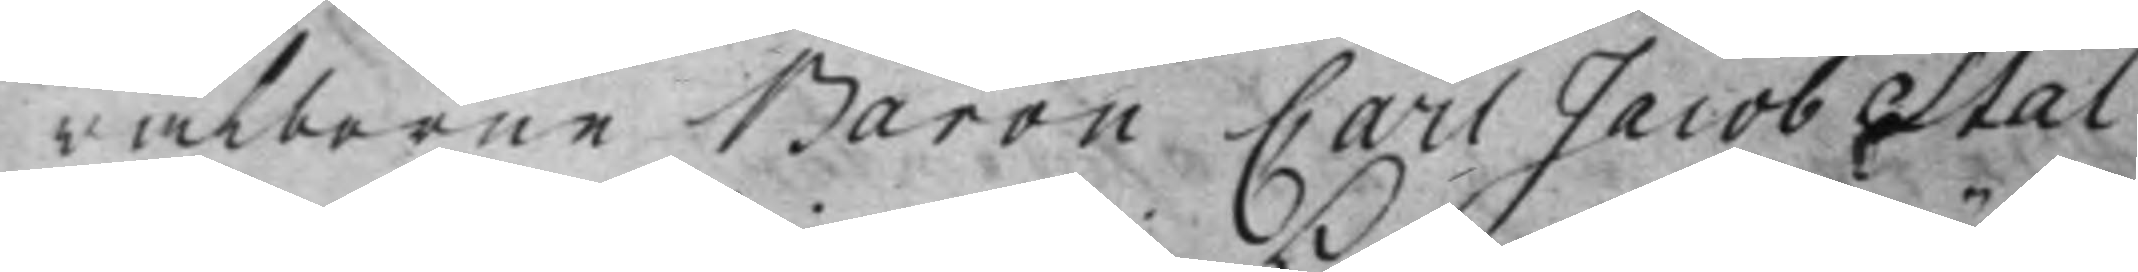wälborne Baron Carl Jacob Stal
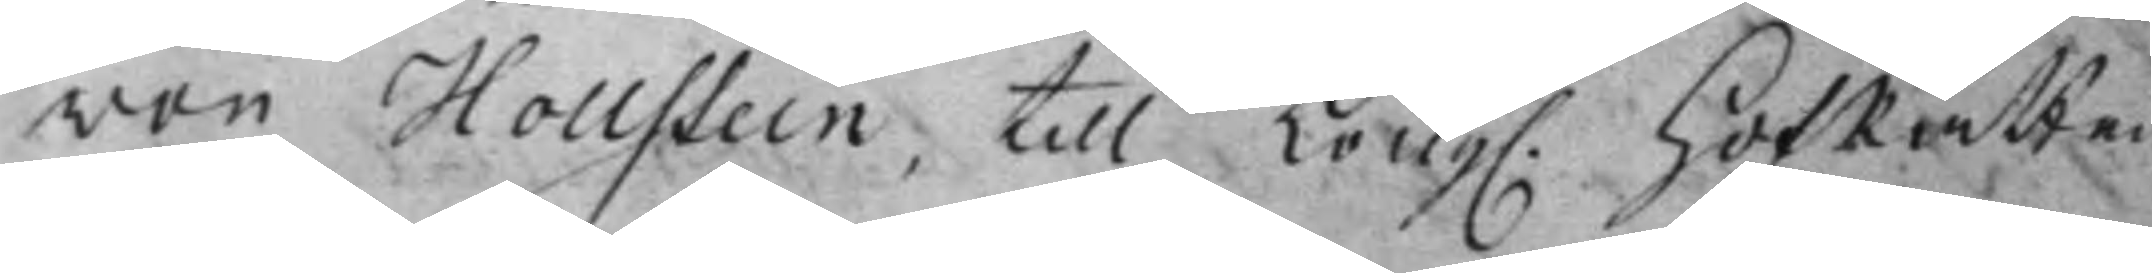von Hollstein, till Kong. HofRätten 
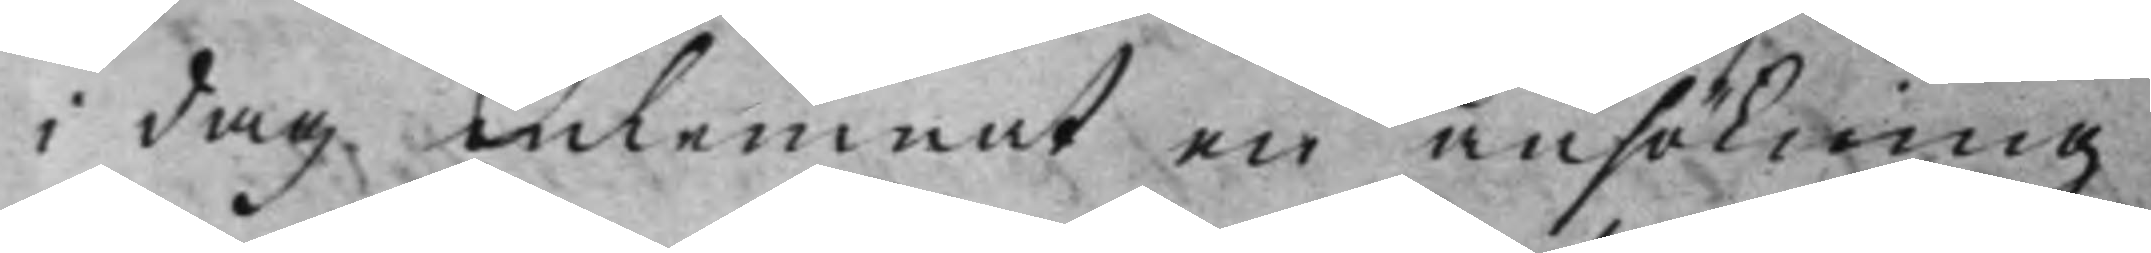i dag inlemnat en ansökning
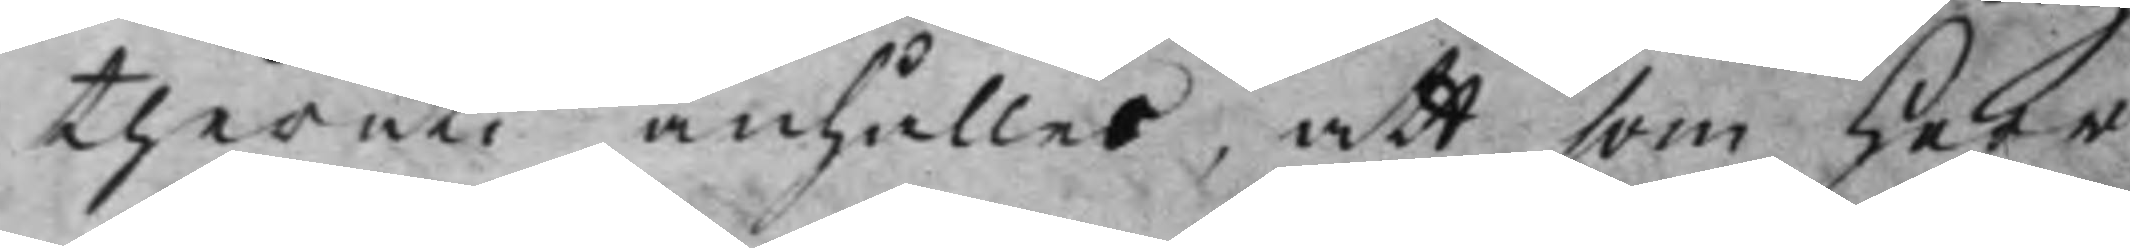theruti anhålles, att som Herr
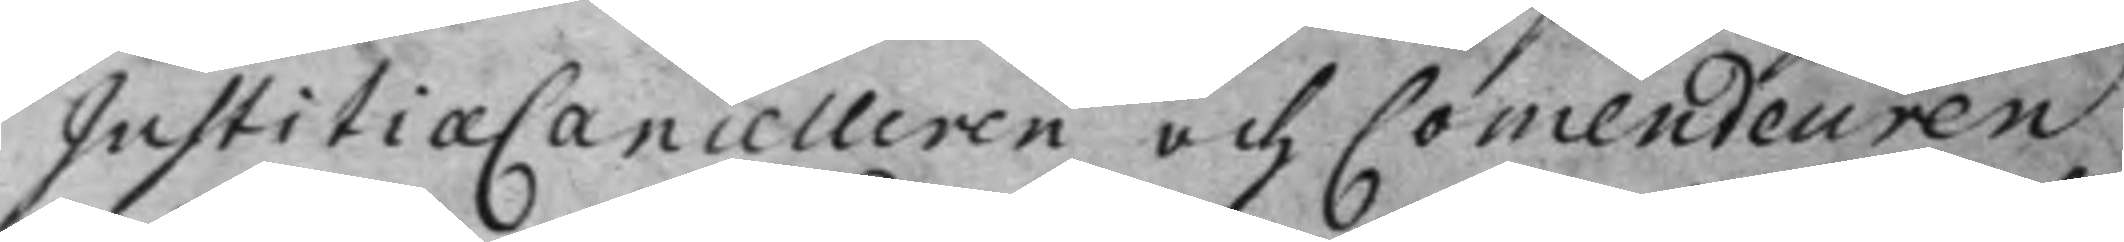JustitiæCancelleren och Comendeuren
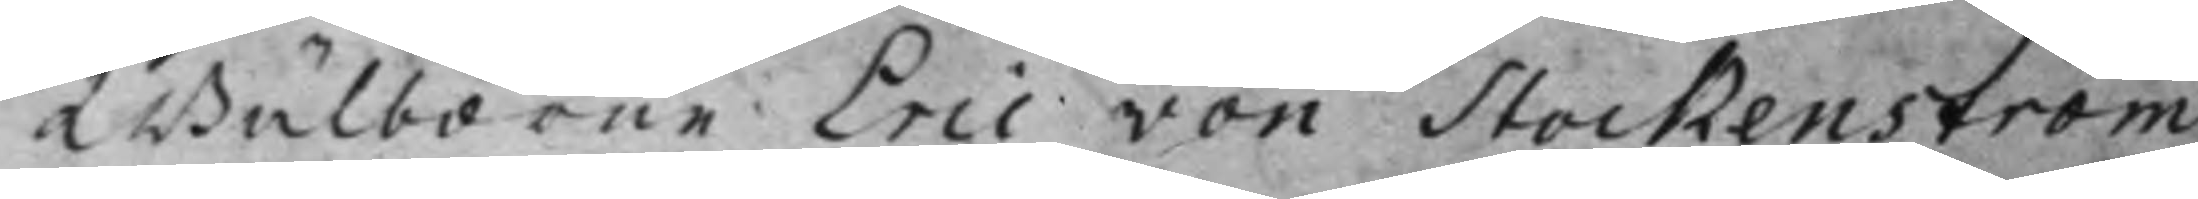Wälborne Eric von Stockenström
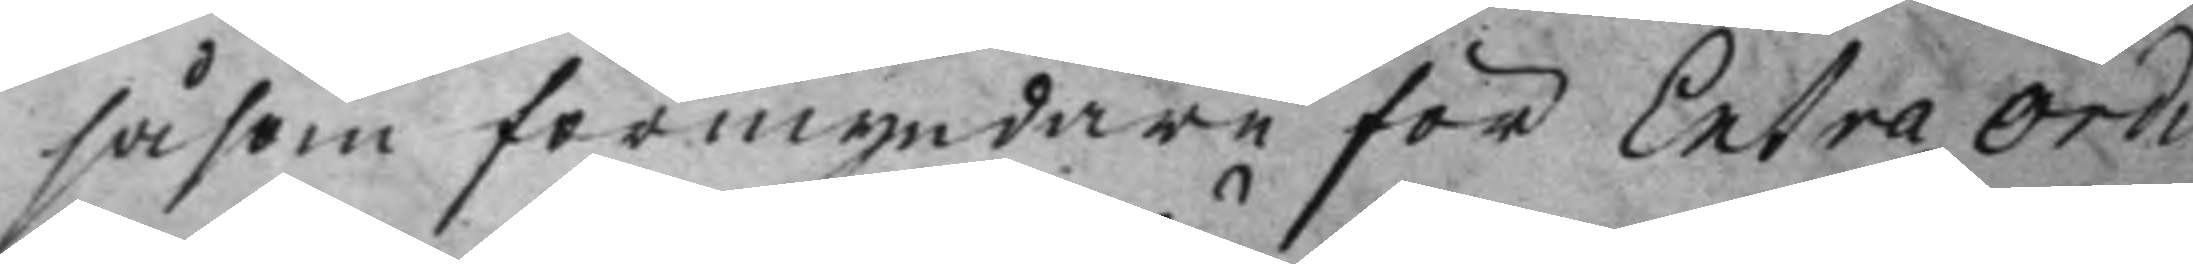såsom förmyndare för ExtraOrdi¬
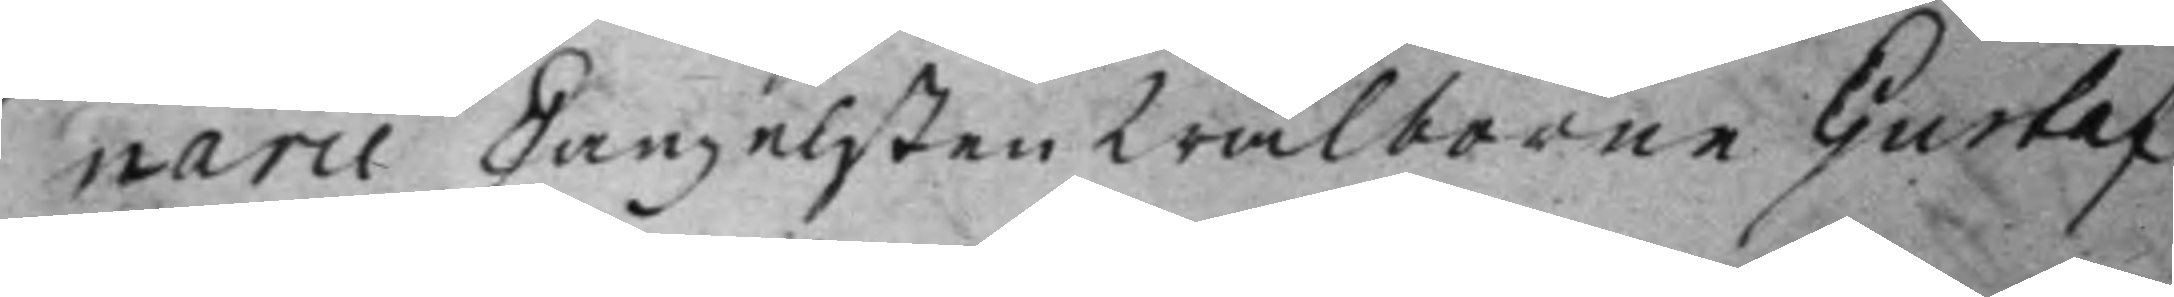narie Canzelisten Wälborne Gustaf
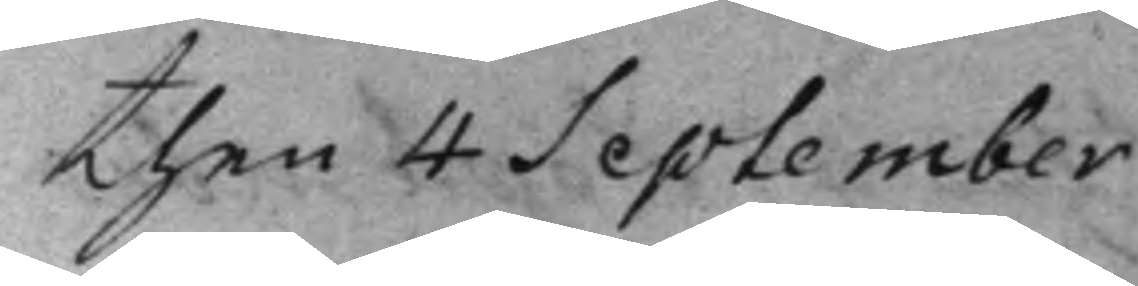then 4 September
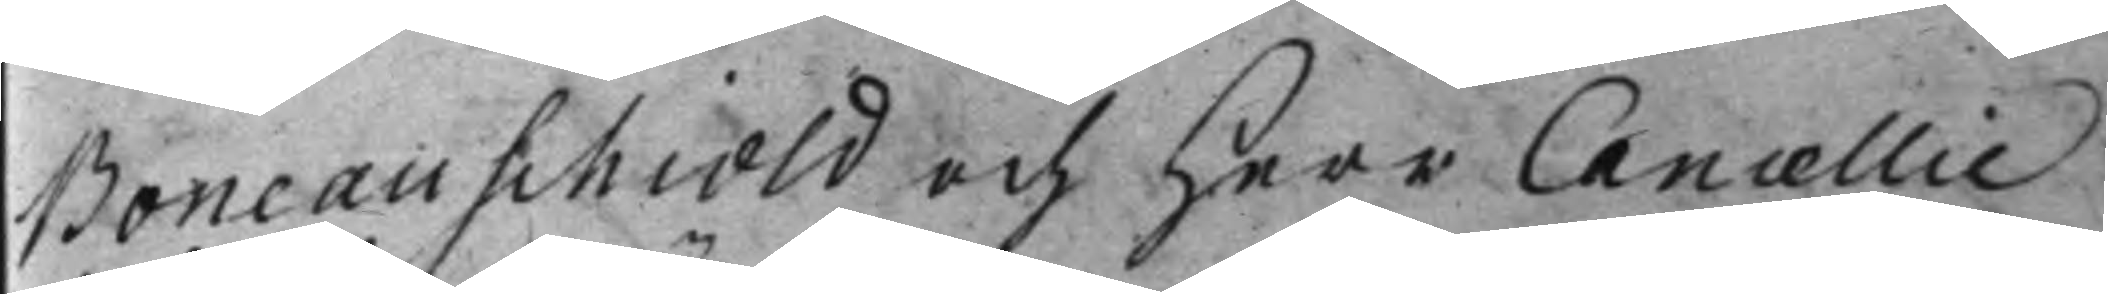Boneauschiold och Herr Cancellie¬
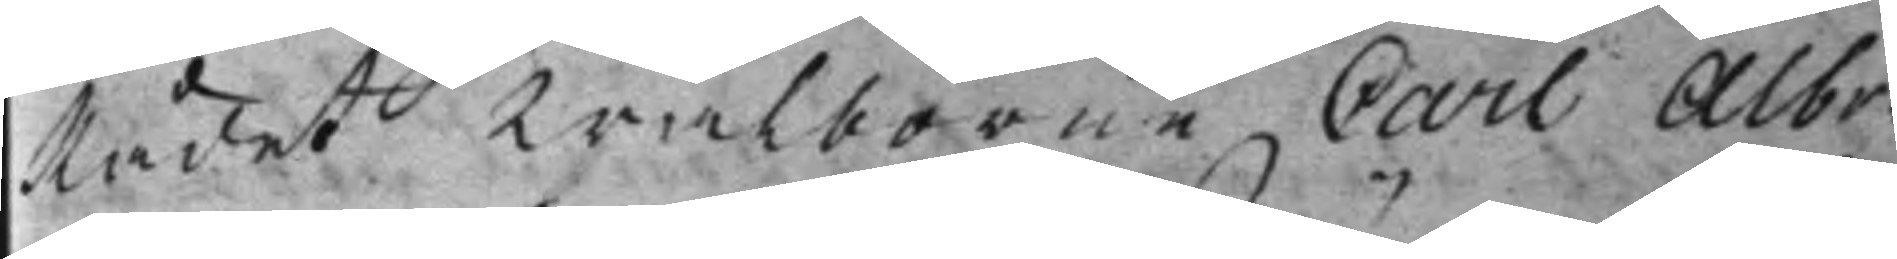Rådet Wälborne Carl Albr.
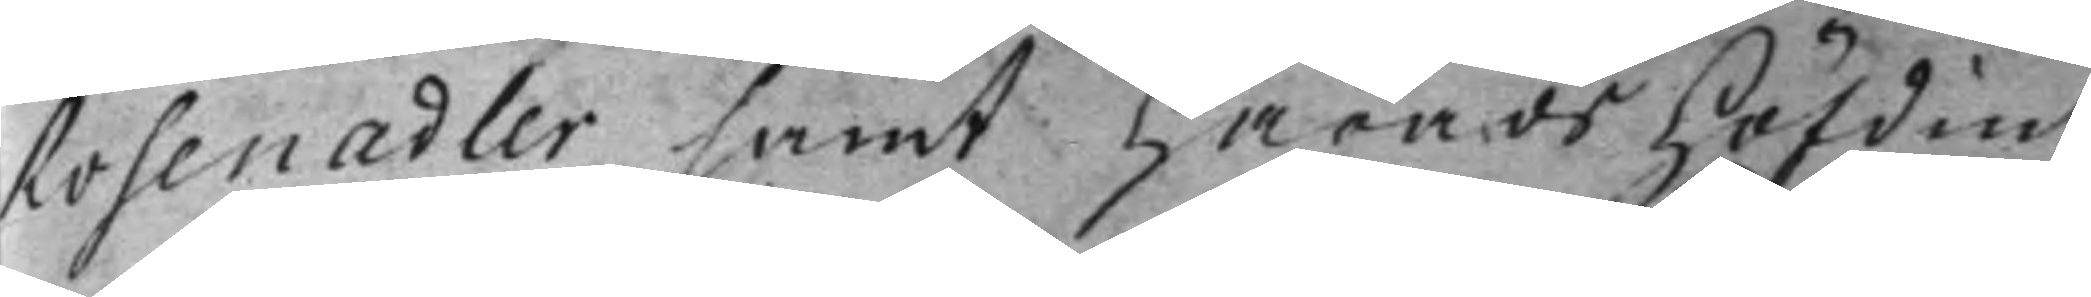Rosenadler samt HäradsHöfdin¬
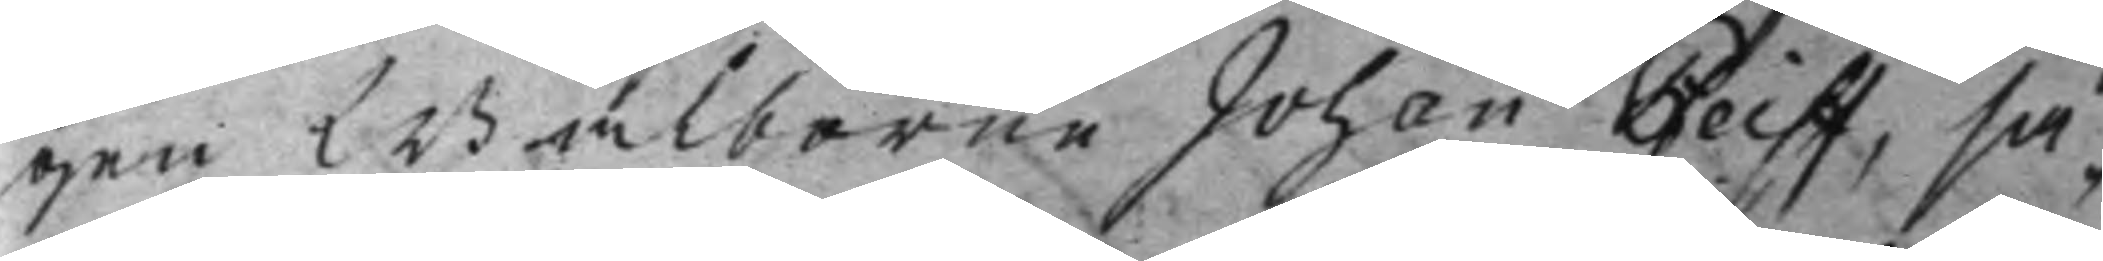gen Wälborne Johan Pfeiff, så¬
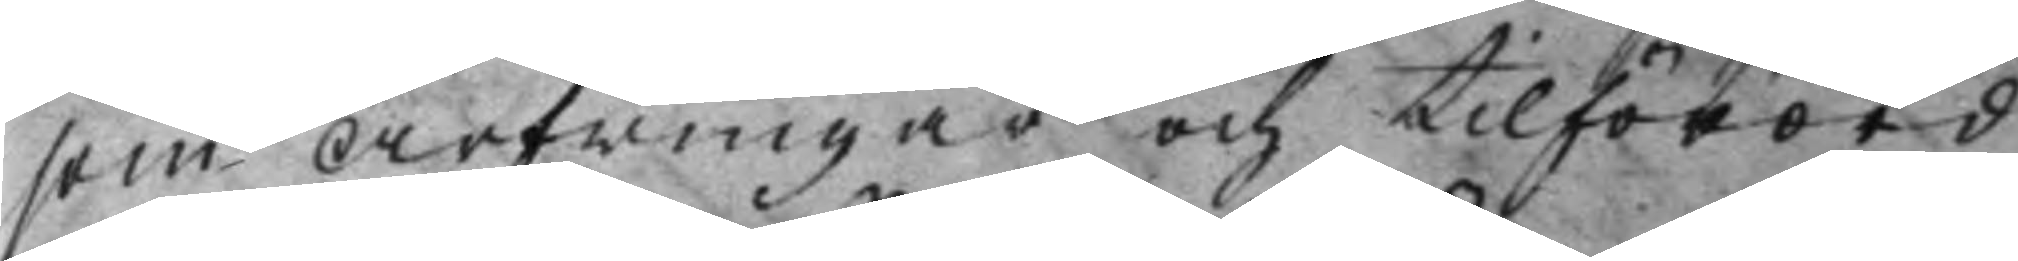som Arfwingar och tilförord¬
